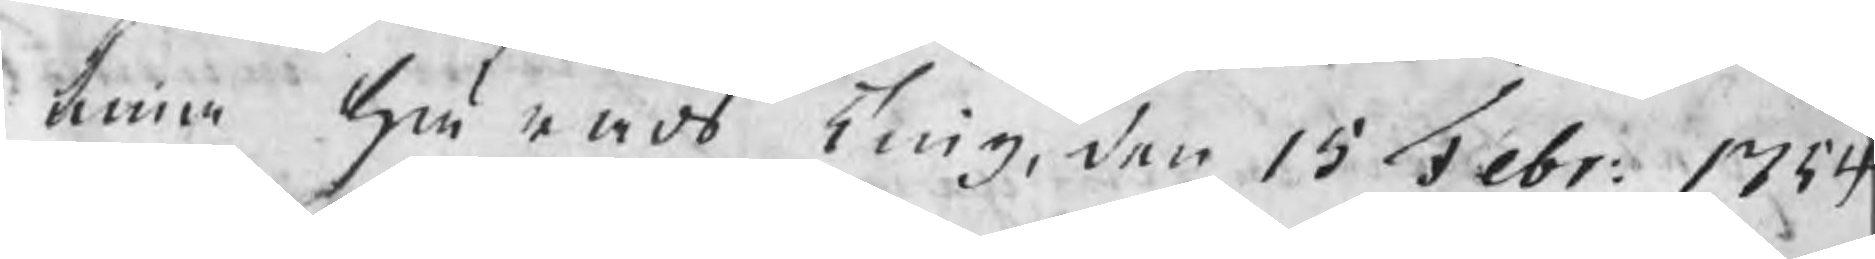tima härads Ting den 15 Febr: 1754
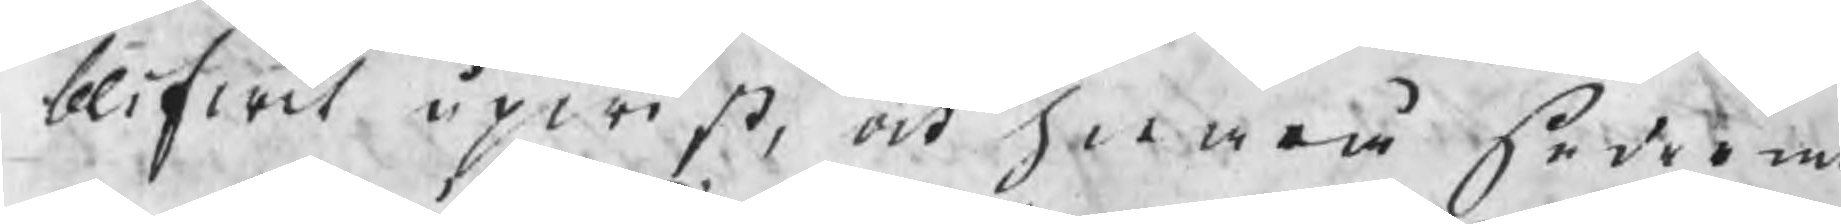blifwit upwist, och hwarå sederme
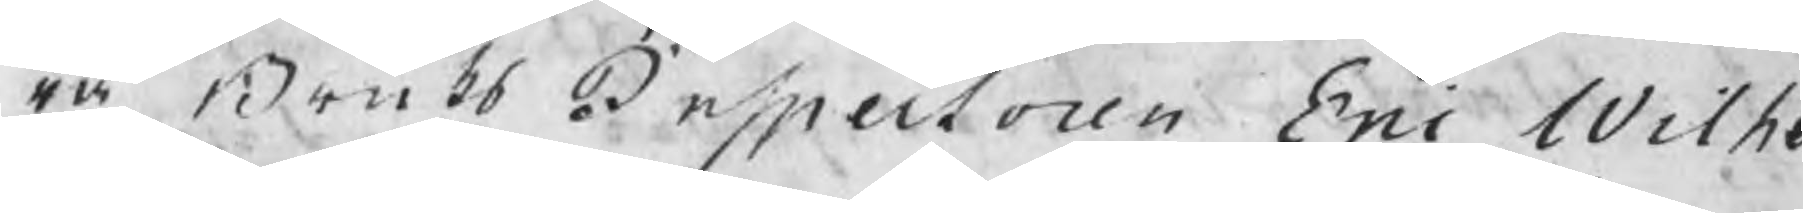ra Bruks Inspectoren Eric Wilhel
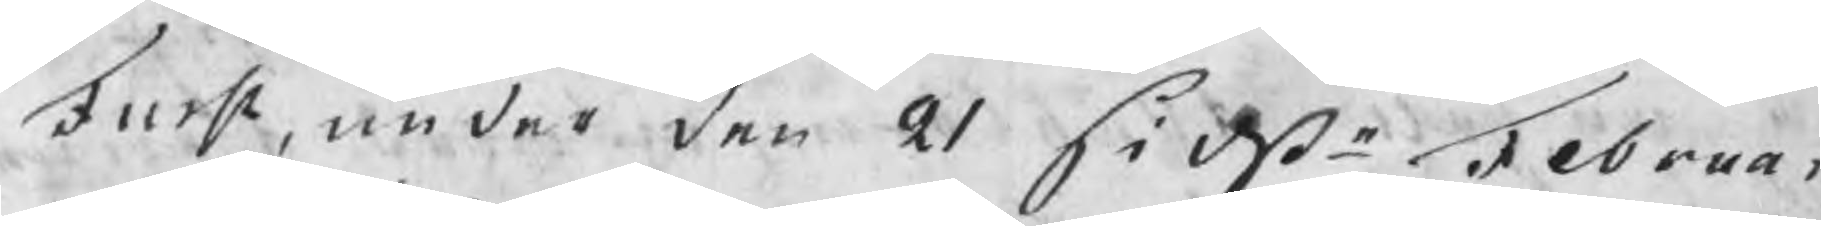Furst, under den 21 sidste Februar
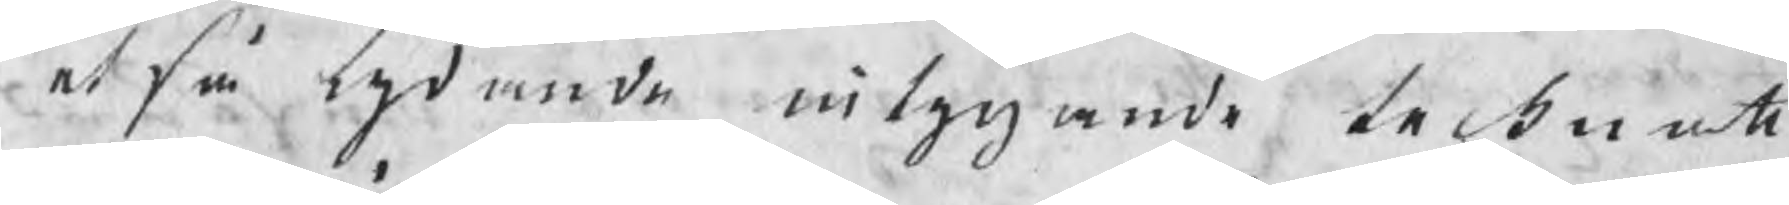et så lydande intygande tecknatt.
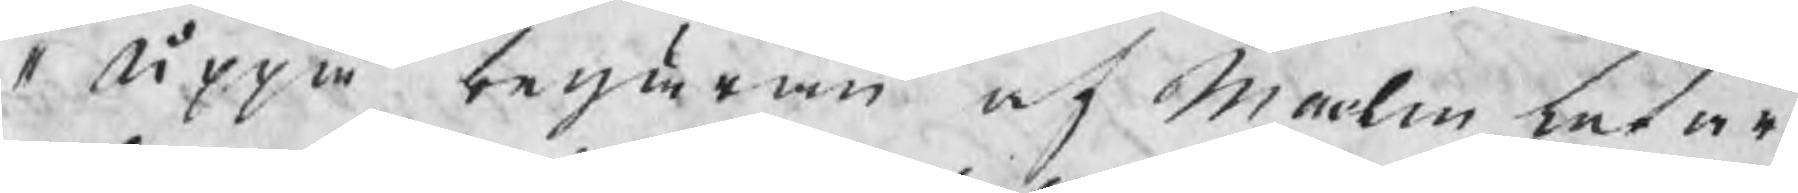" Uppå begäran af malmletare
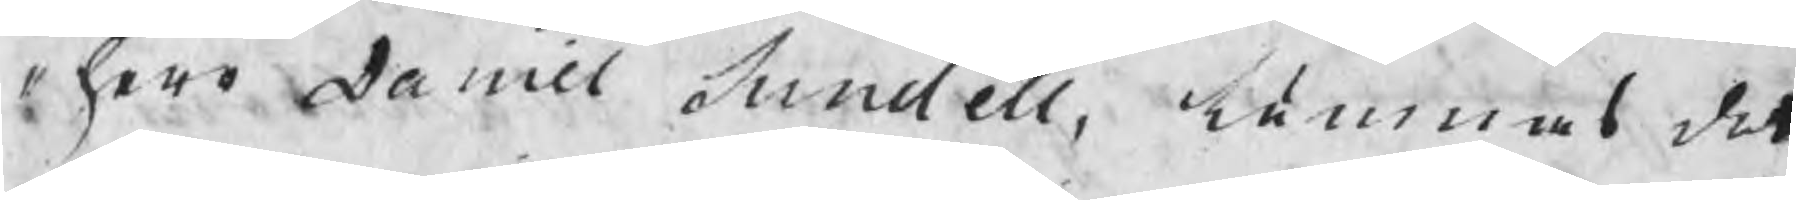" herr Daniel Sundell, lämnas det
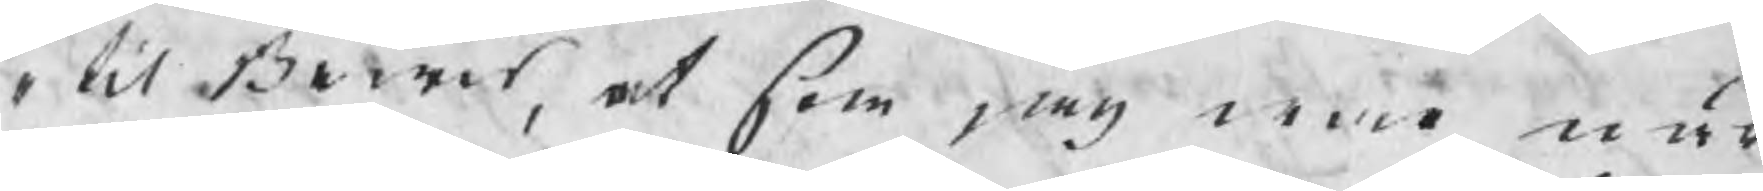" til Bewis, at som jag war när¬
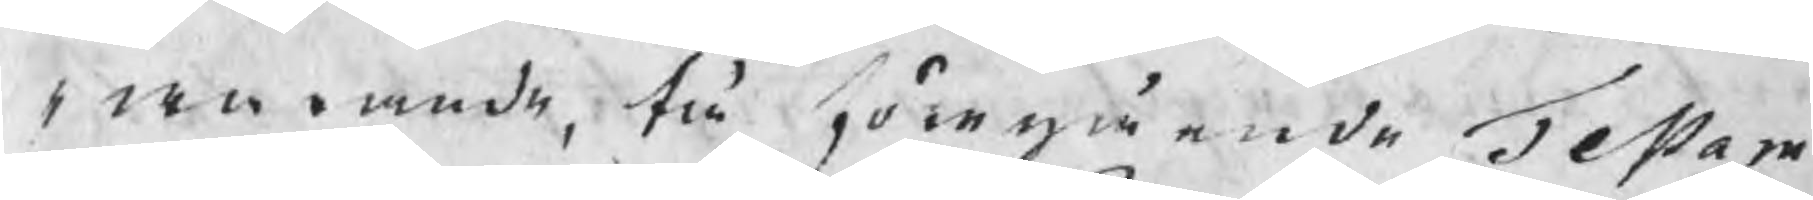" warande, tå föregående Testam
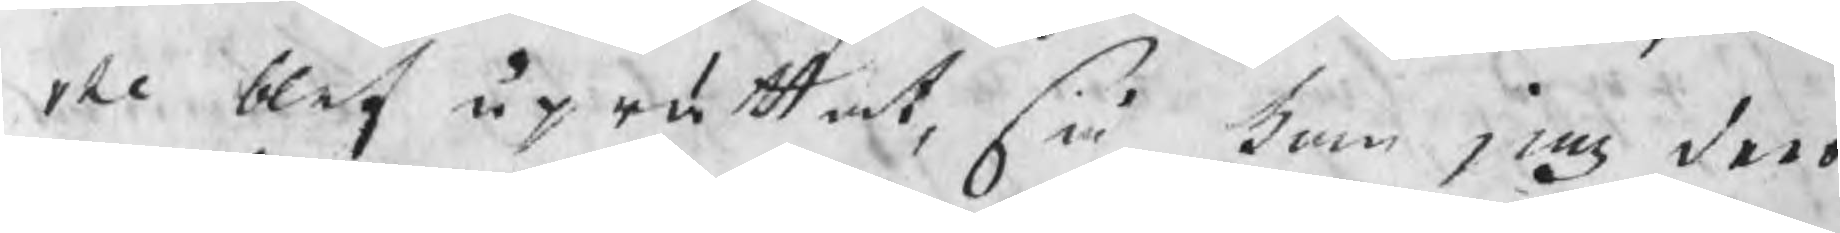" te blef uprättat, så kan jag dero
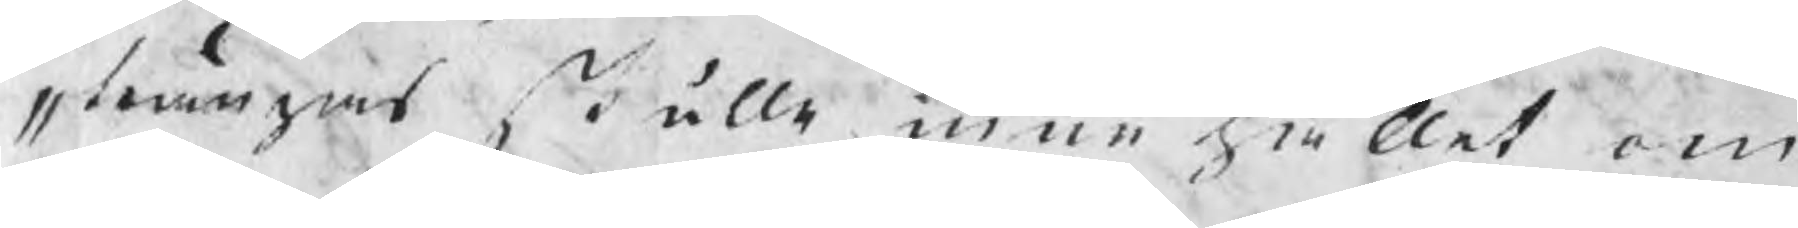" twingas skulle, innehållet om
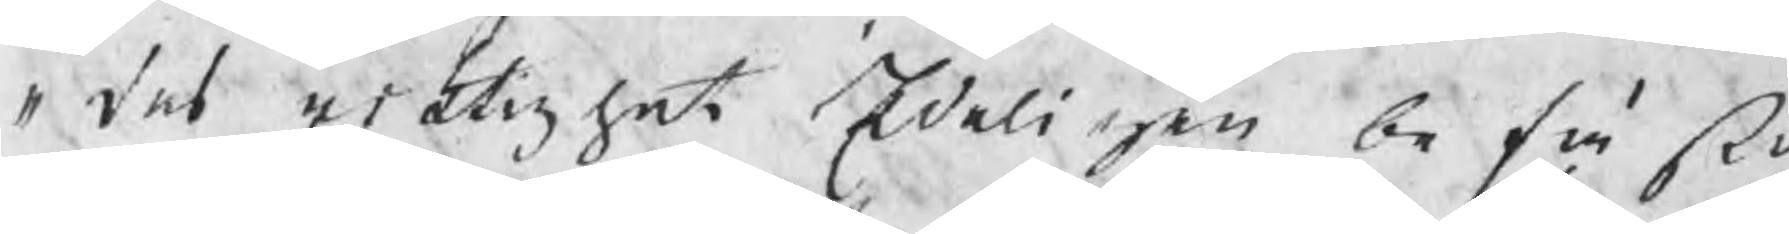" des riktighet Edeligen befästa,
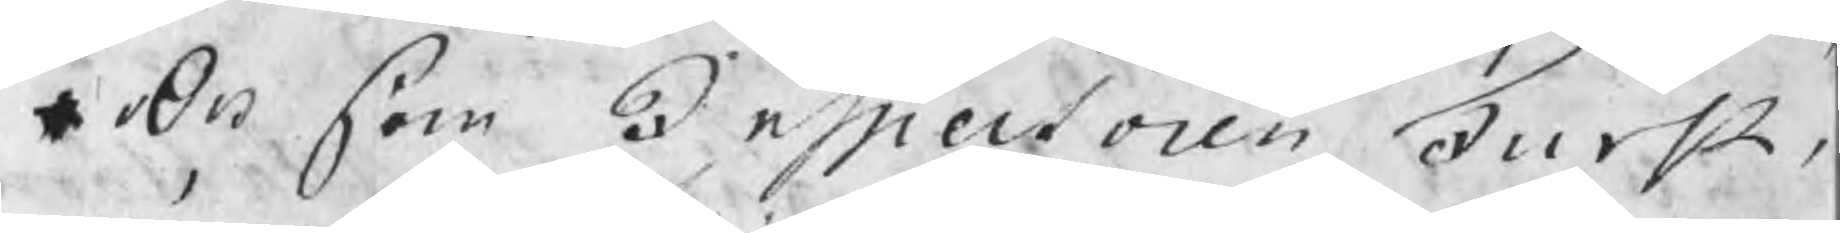Och som Inspectoren Furst
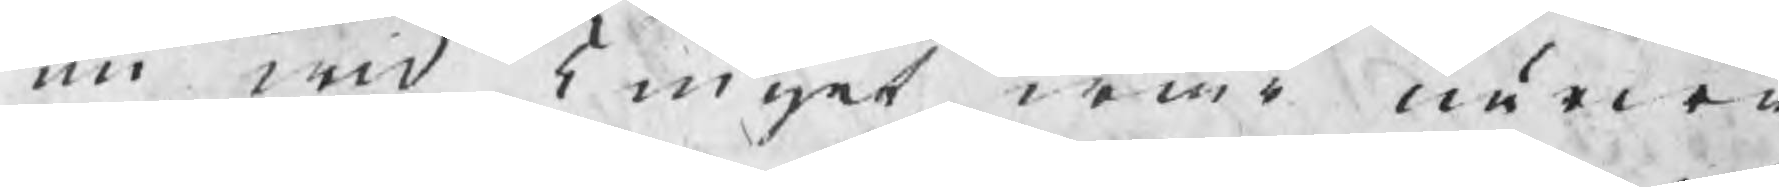nu wid Tinget war närwa¬
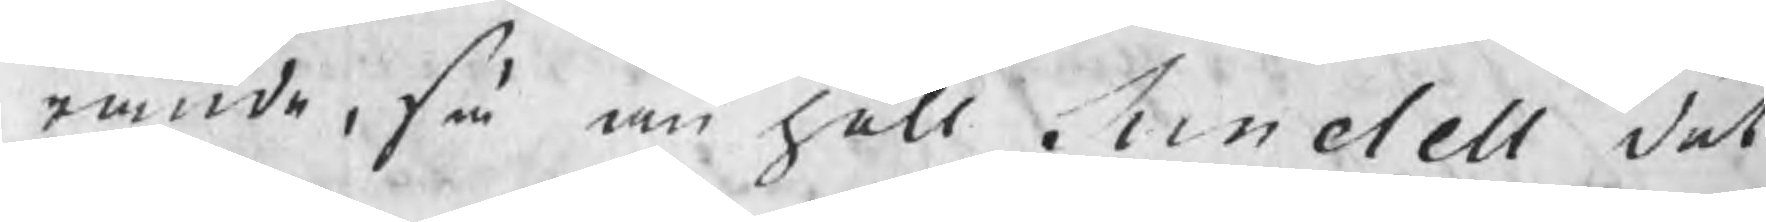rande, så anhöll Sundell det
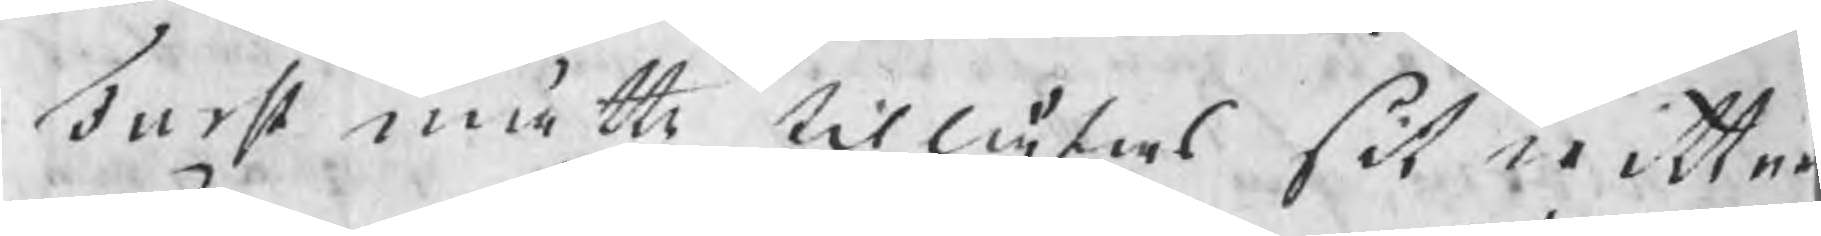Furst måtte tillåtas sit wittne
